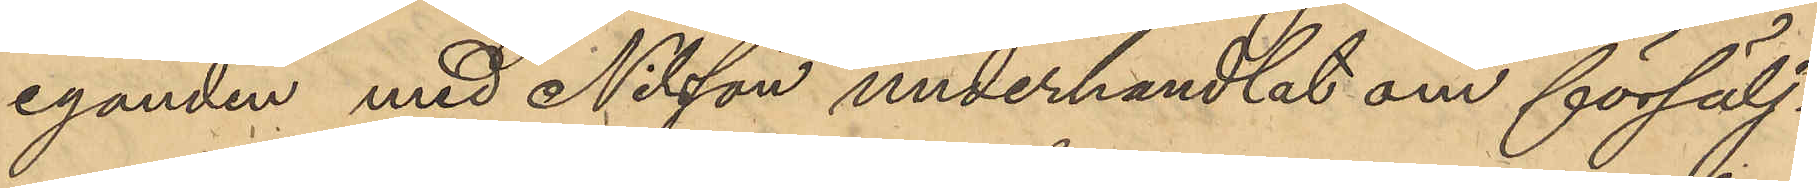eganden med Nilsson underhandlat om försälj¬
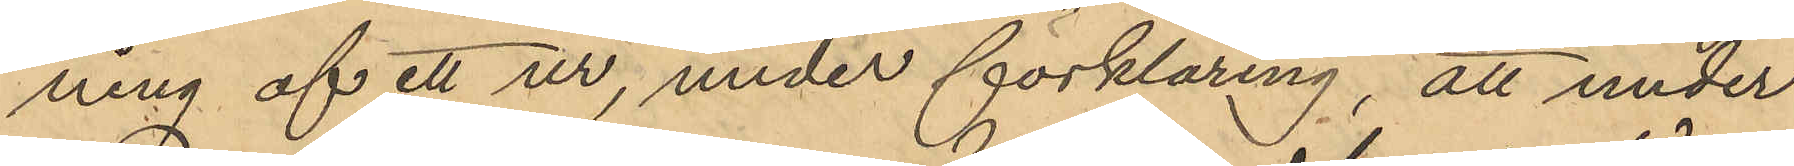ning af ett ur, under förklaring, att under
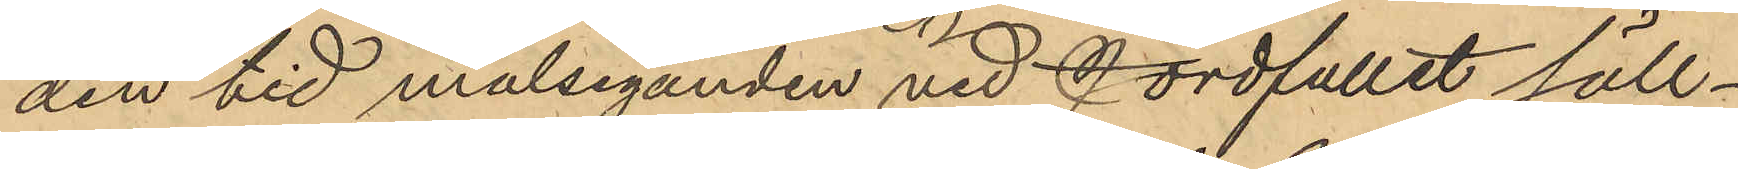den tid målseganden vid Jordfallet säll¬
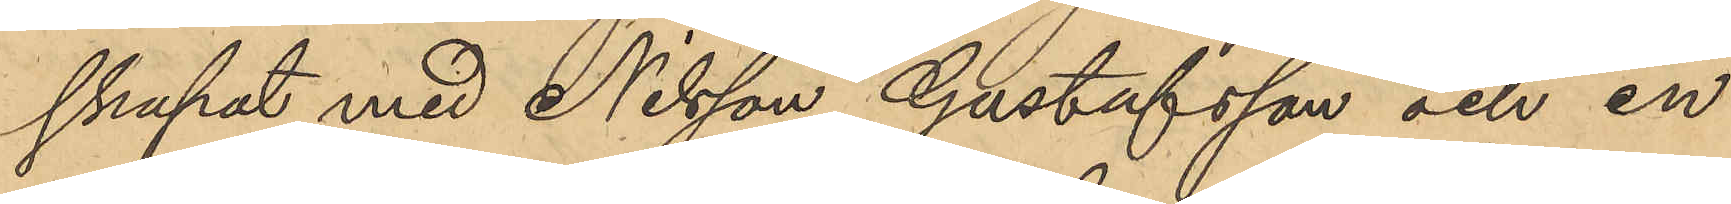skapat med Nilsson, Gustafsson och en
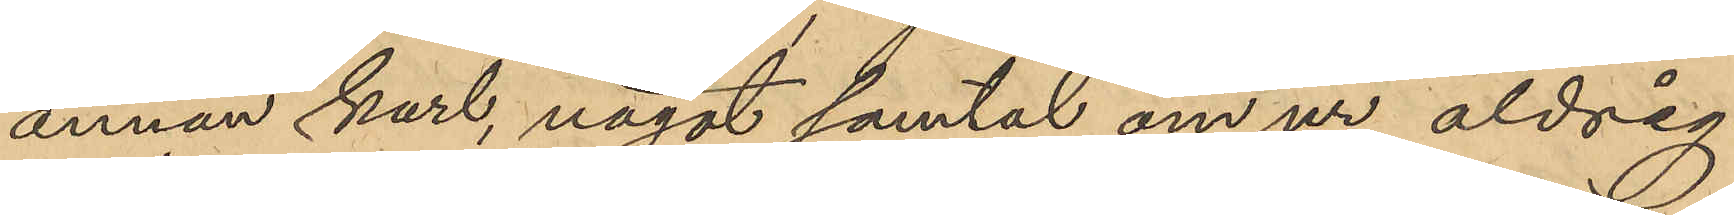annan karl, något samtal om ur aldrig
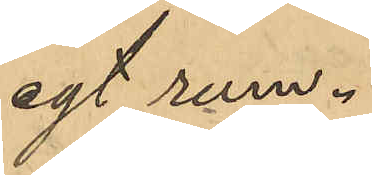egt rum.
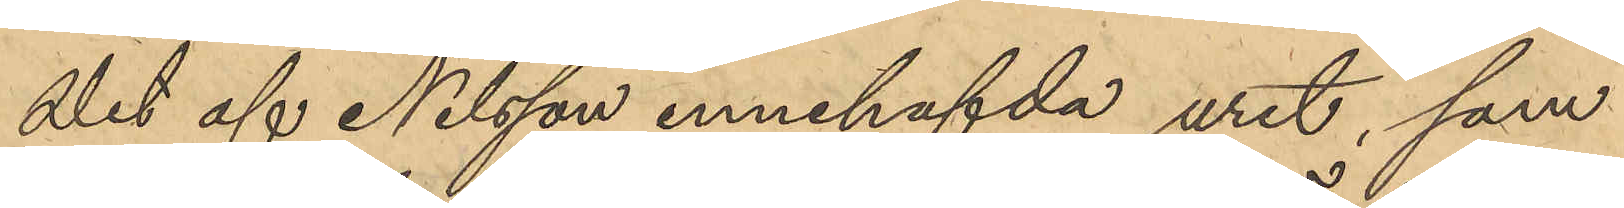Det af Nilsson innehafvda uret, som
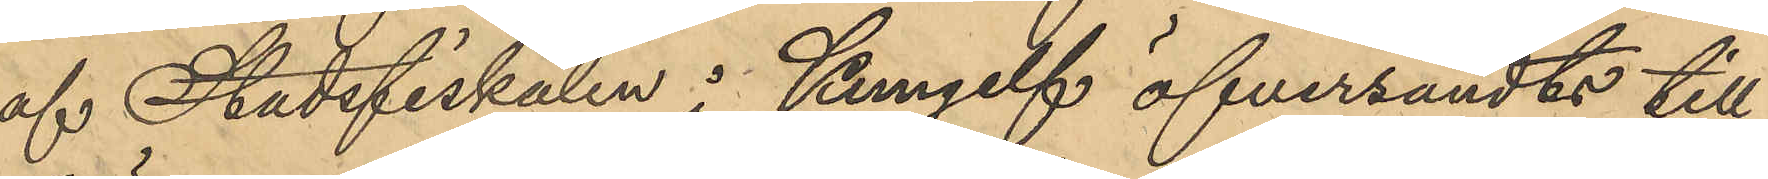af Stadsfiskalen i Kungelf öfversändts till
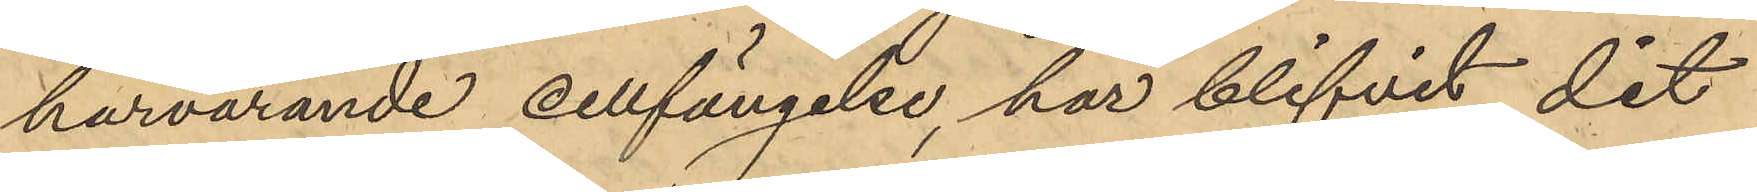härvarande cellfängelse, har blifvit dit
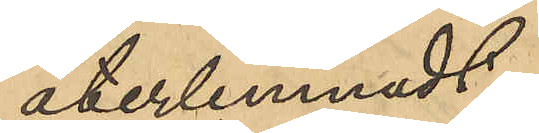återlemnadt.
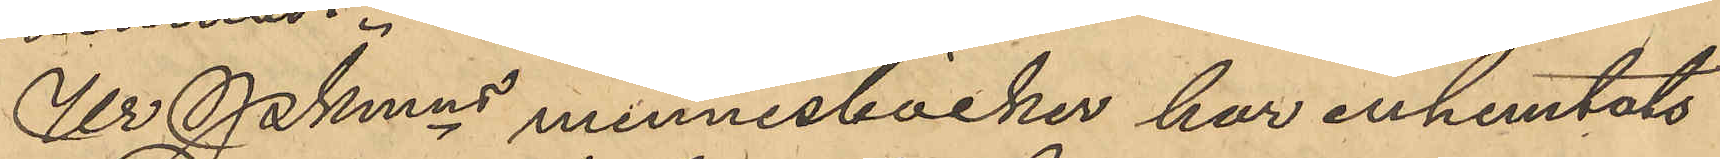Ur Pkmns minnesböcker har inhemtats
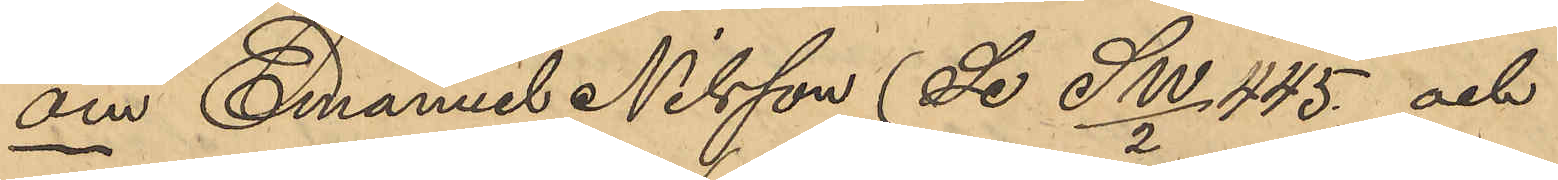om Emanuel Nilsson (Se SW/2 445 och
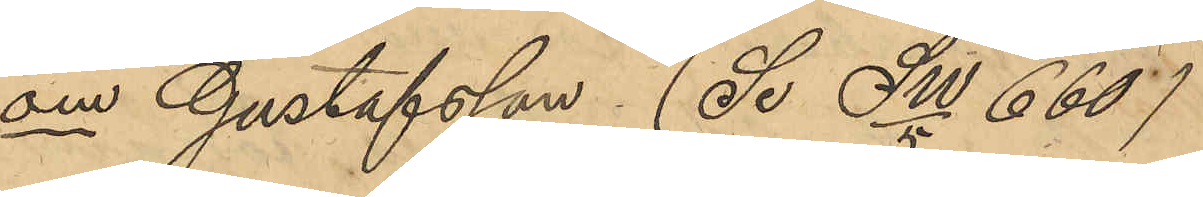om Gustafsson (Se SW/5 660)
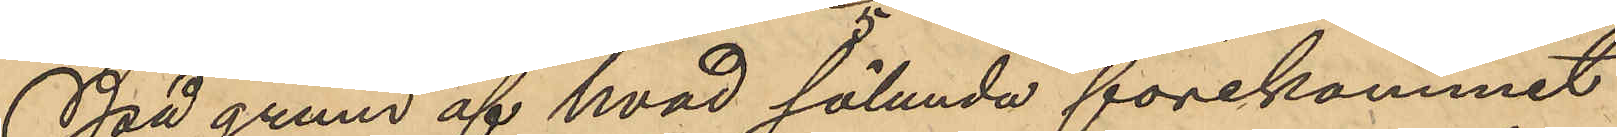På grund af hvad sålunda förekommit
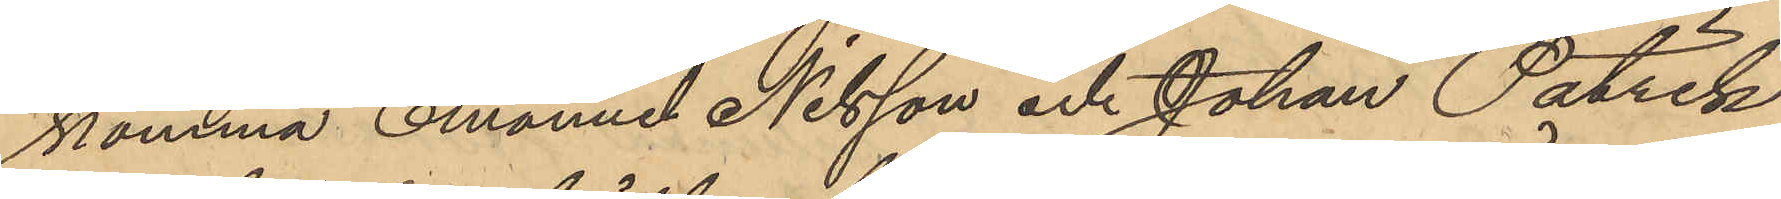komma Emanuel Nilsson och Johan Patrik
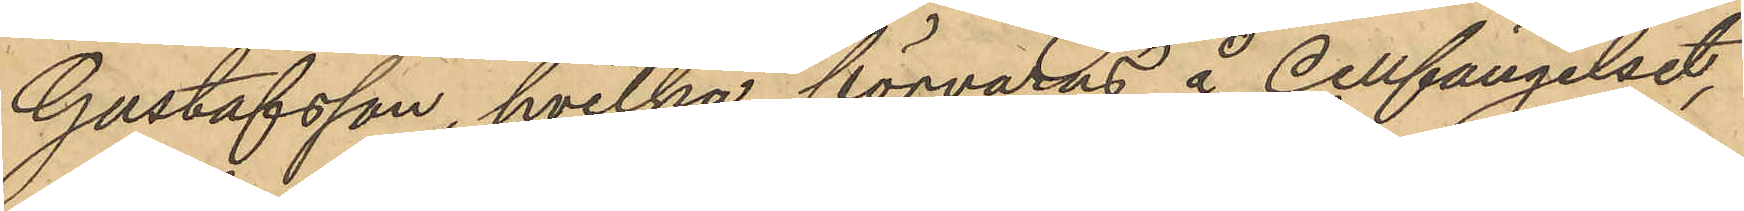Gustafsson, hvilka förvaras å cellfängelset,
